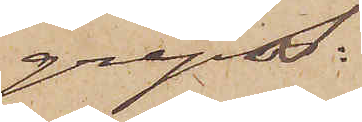greps:
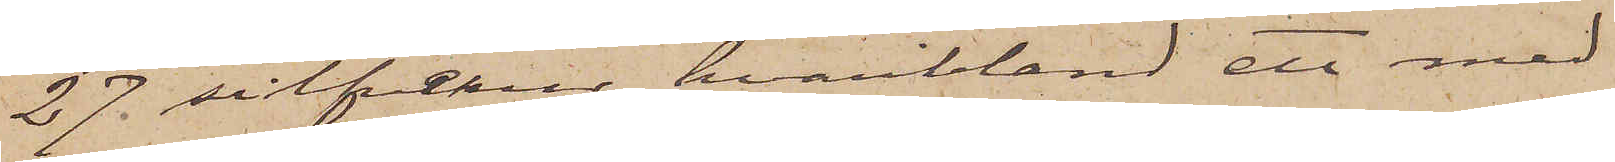27 silfverur, hvaribland ett med
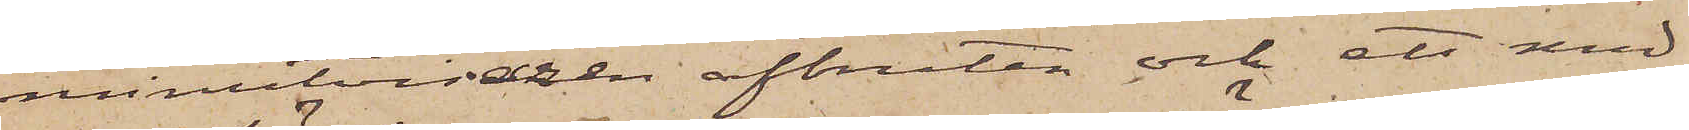minutvisaren afbruten och ett med
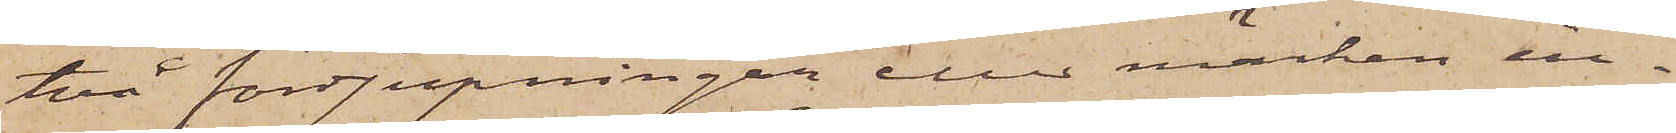två fördjupningar eller märken in¬
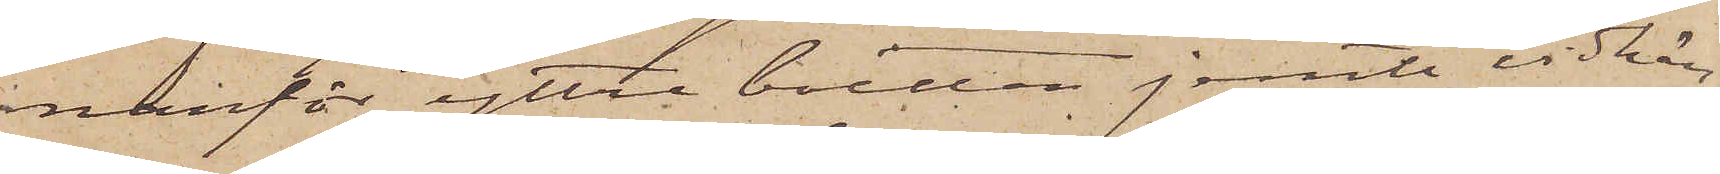nanför yttre boetten jemte vidhän¬
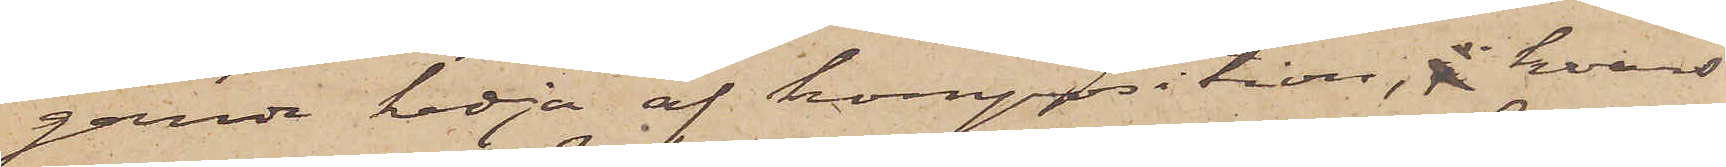gande kedja af komposition, hvars
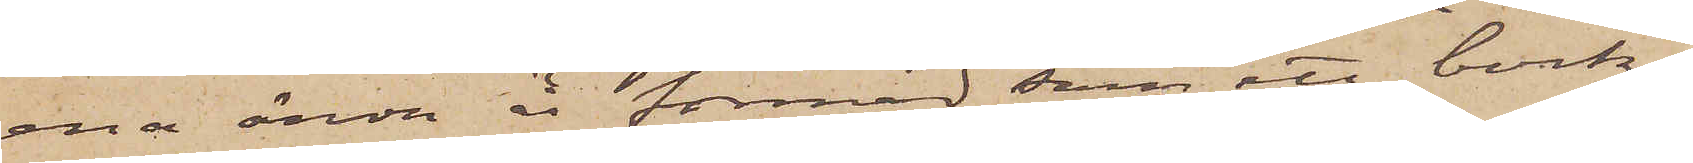ena ända är formad som ett bock¬
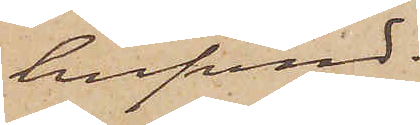hufvud.
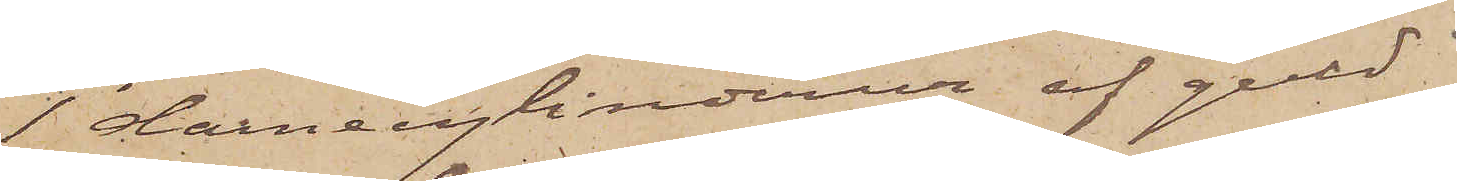1 damecylinderur af guld
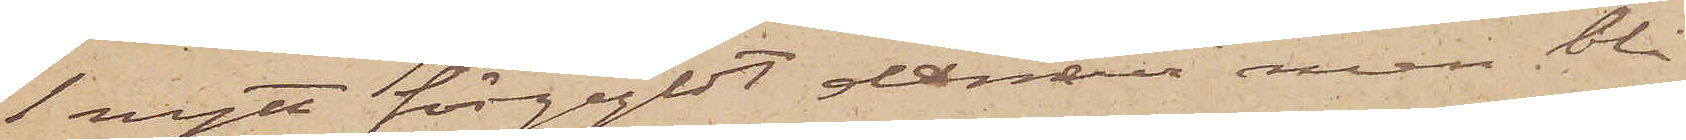1 nytt förgyldt dameur med blå
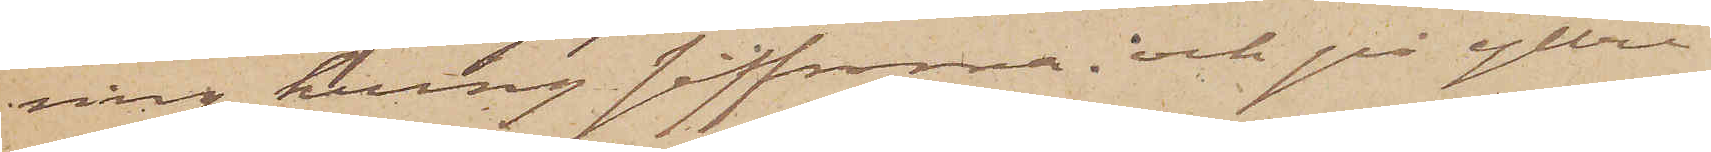ring kring siffrona och på yttre
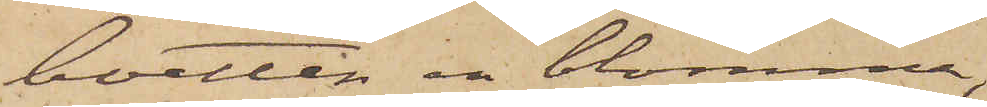boetten en blomma,
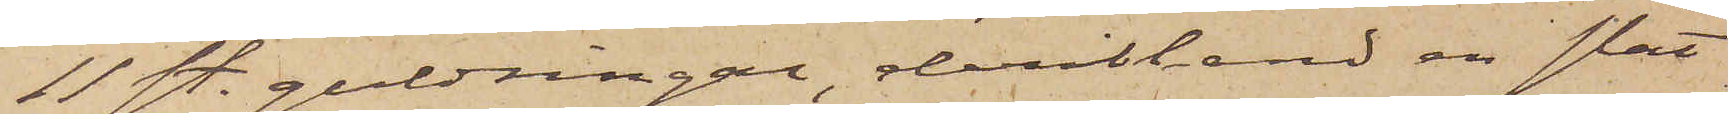11 st. guldringar, deribland en slät
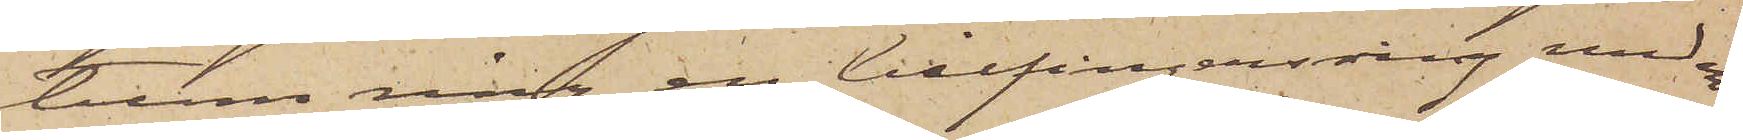tunn ring, en lillfingersring med en
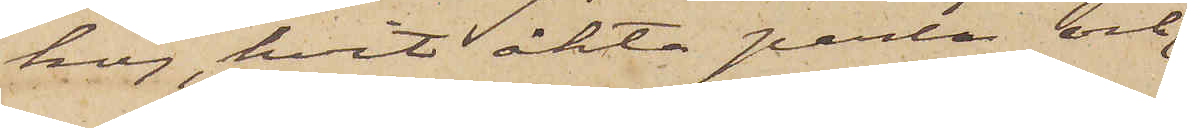hög, hvit äkta perla och
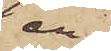en
